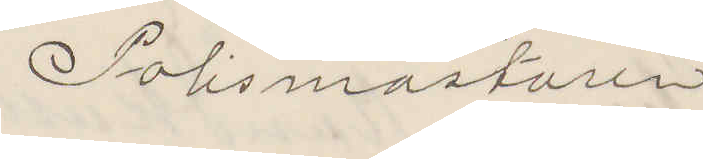Polismästaren
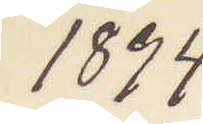1894
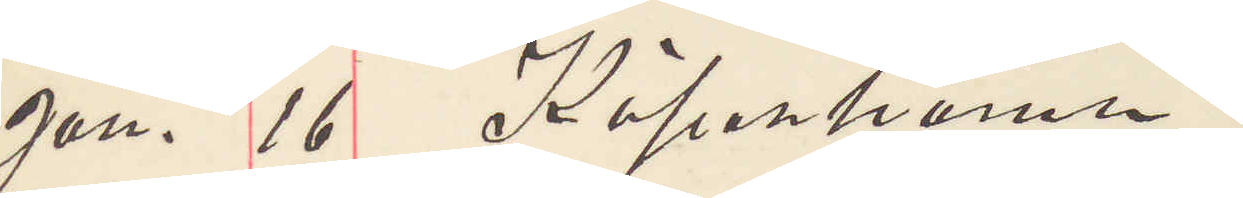Jan. 16 Köpenhamn.
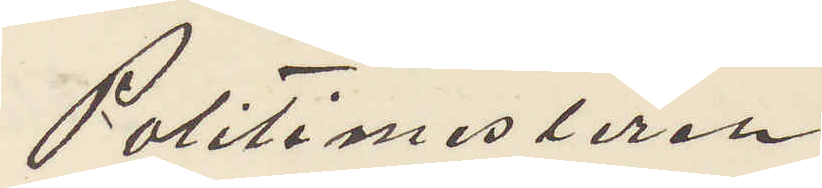Politimesteren
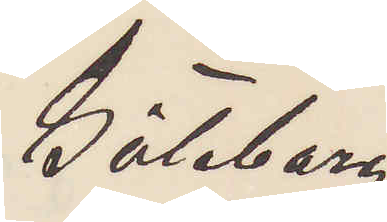Göteborg
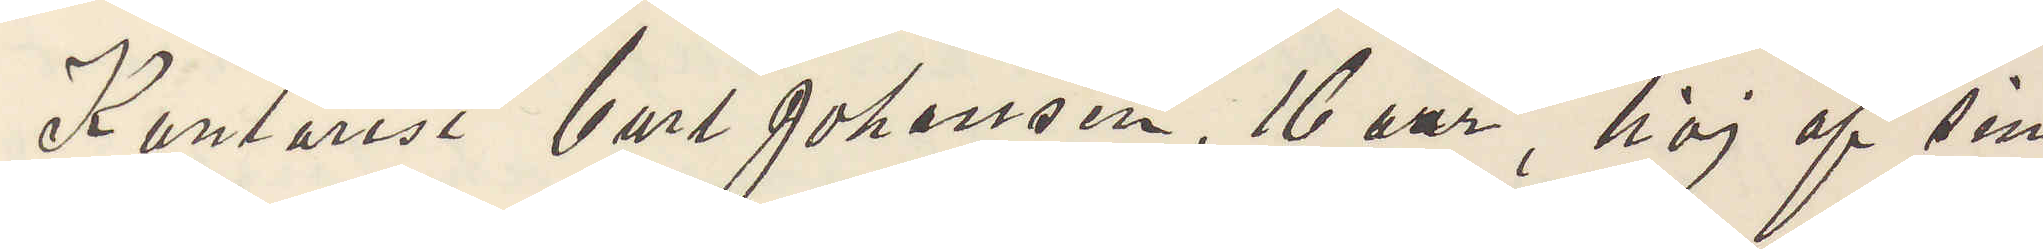Kontorist Carl Johansson, 16 aar, höj af sin
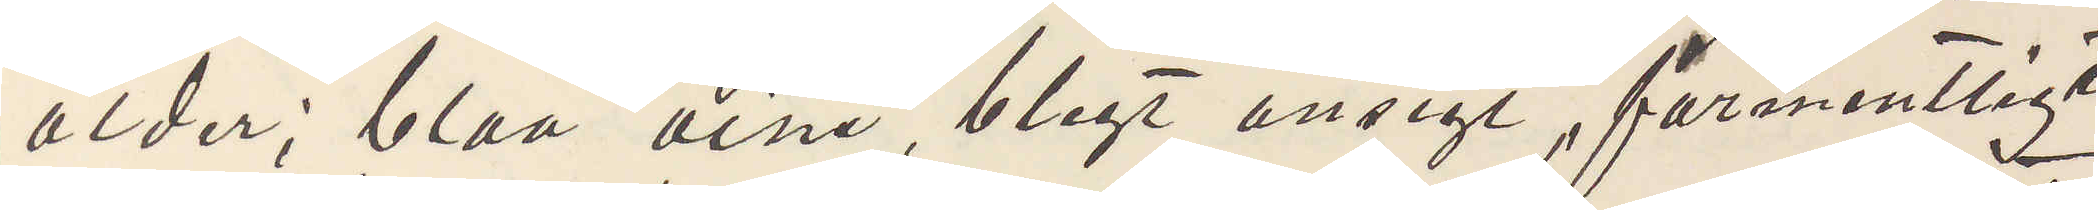ålder; blaa öine, blegt ansigt, formentligt
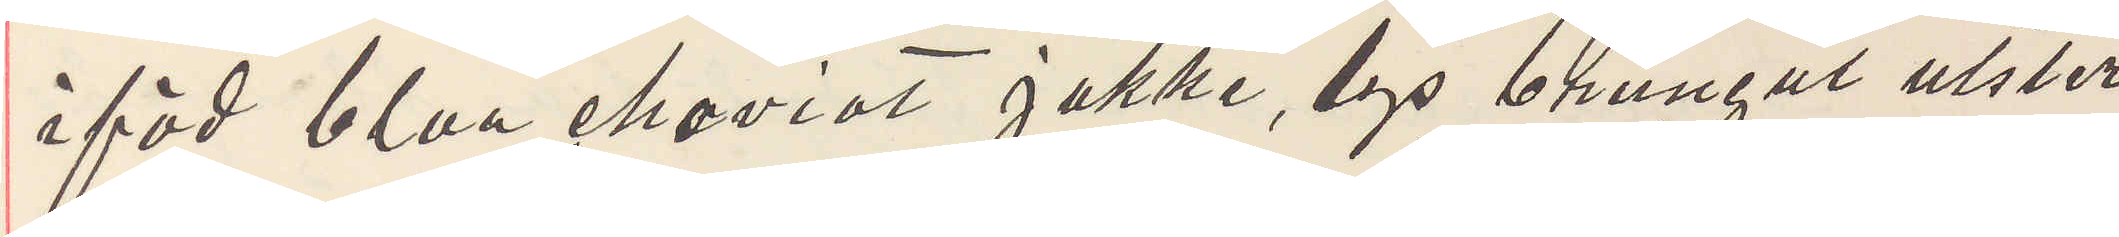iföd blaa cheviot jakke, lys brungul ulster
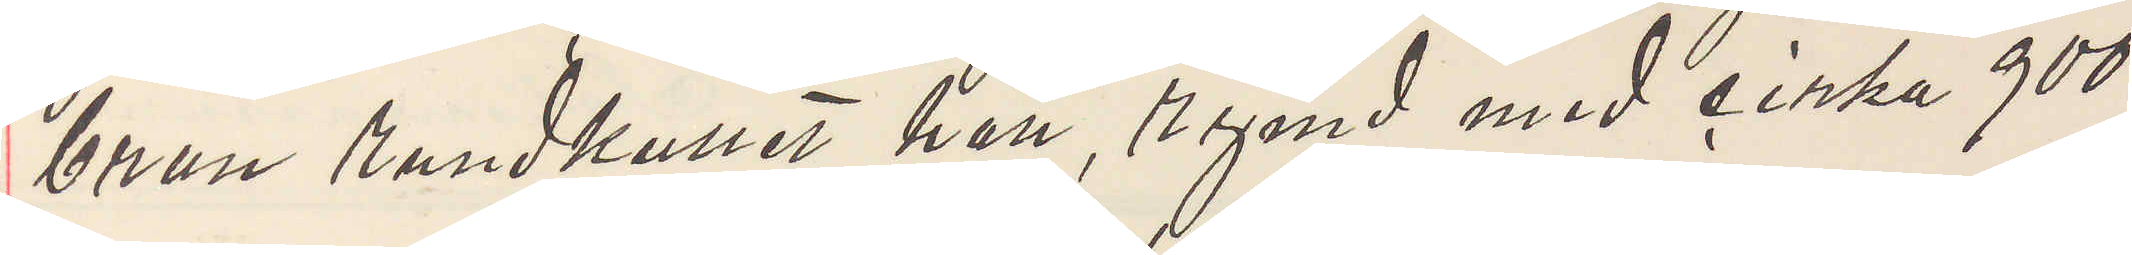brun rundkullet hatt, rymd med cirka 900
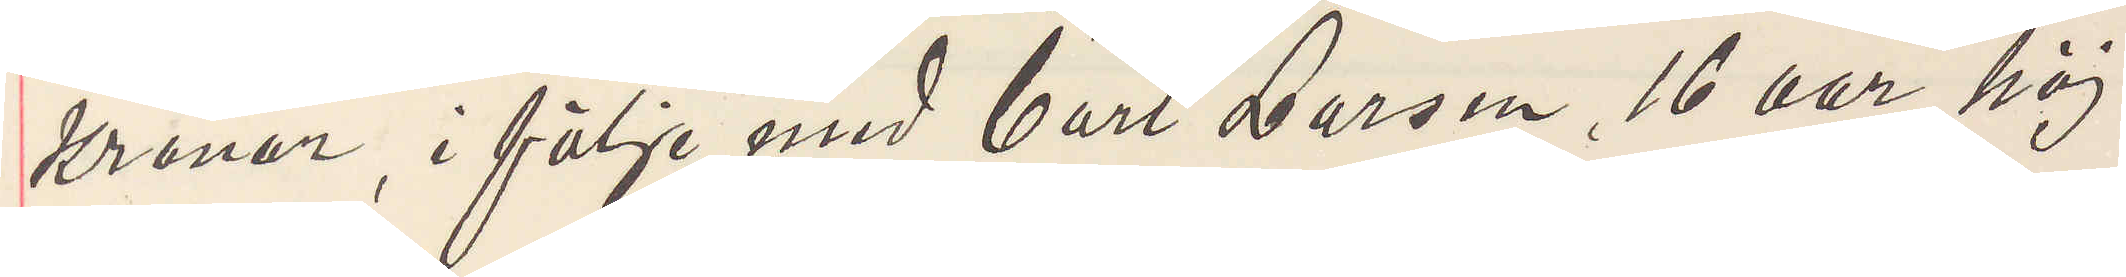kronor, i följe med Carl Larsen, 16 aar, höj
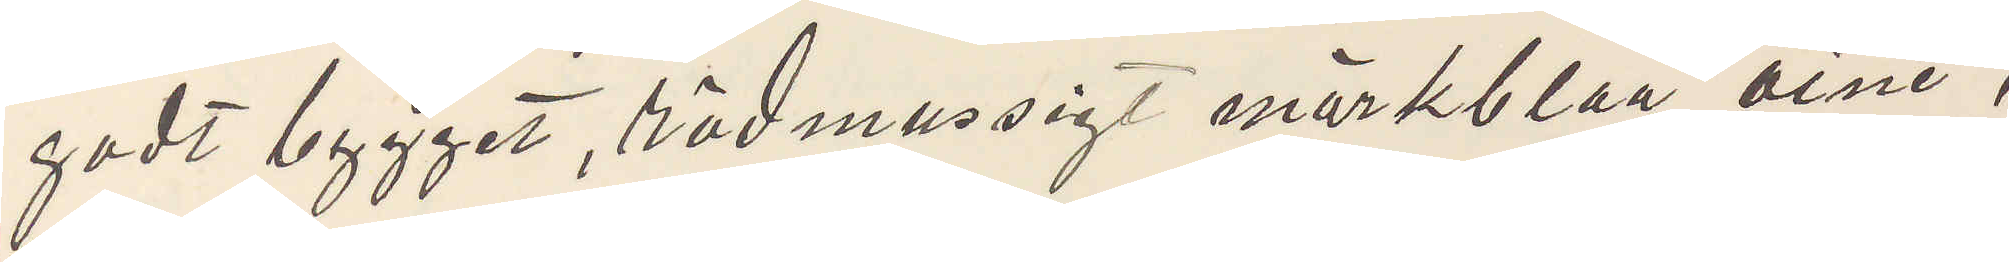godt bygget, rödmussig mörkblaa öine,
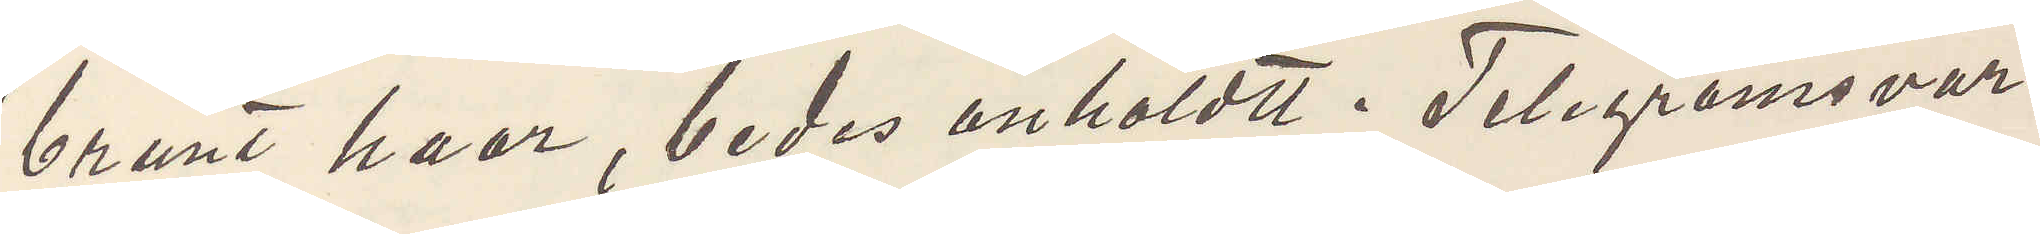brunt haar, bedes anholdt. Telegramsvar.
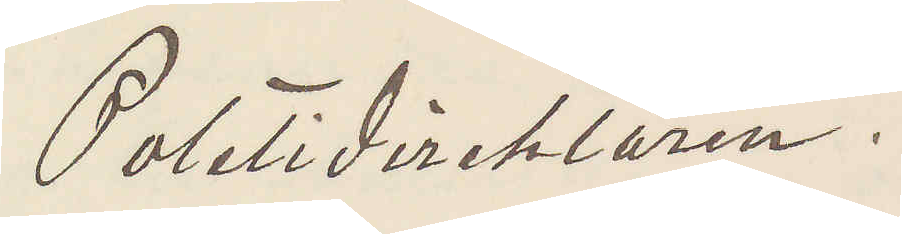Politidirektören.
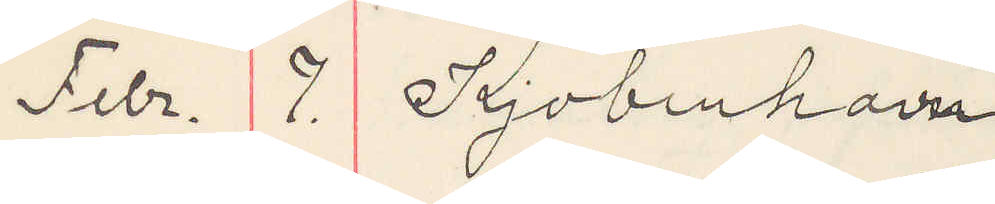Febr. 7. Kjobenhavn
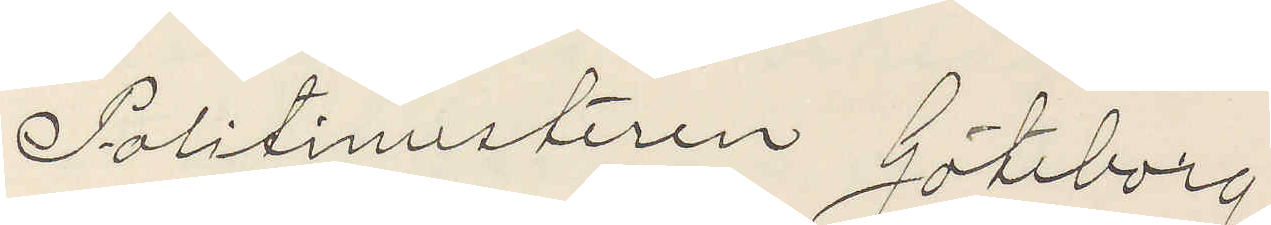Politimesteren Göteborg
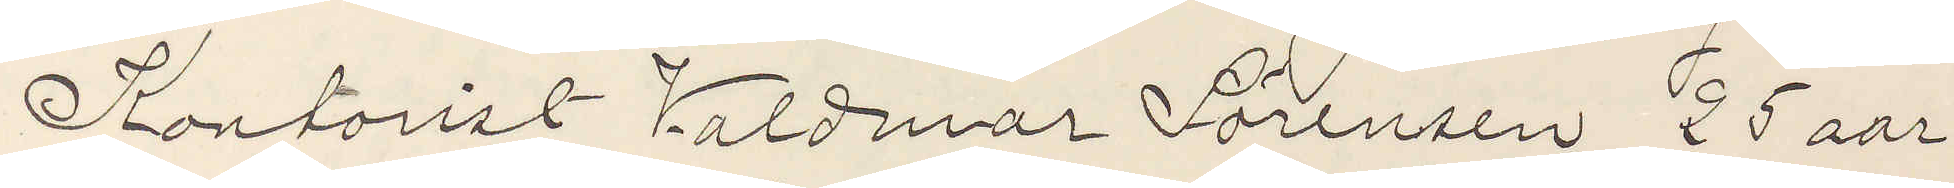Kontorist Valdemar Sörensen, 25 aar,
